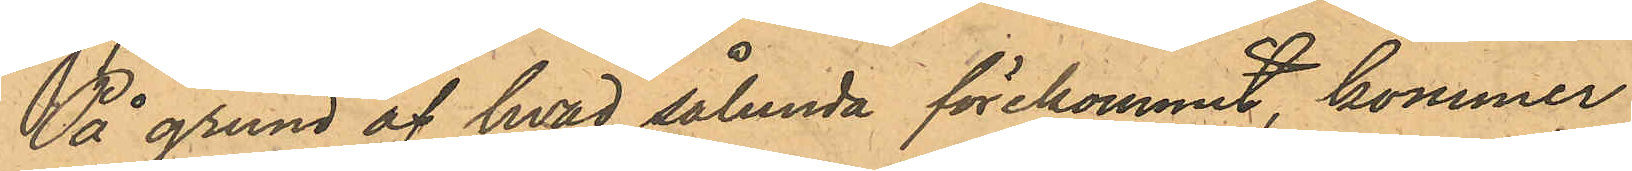På grund af hvad sålunda förekommit, kommer
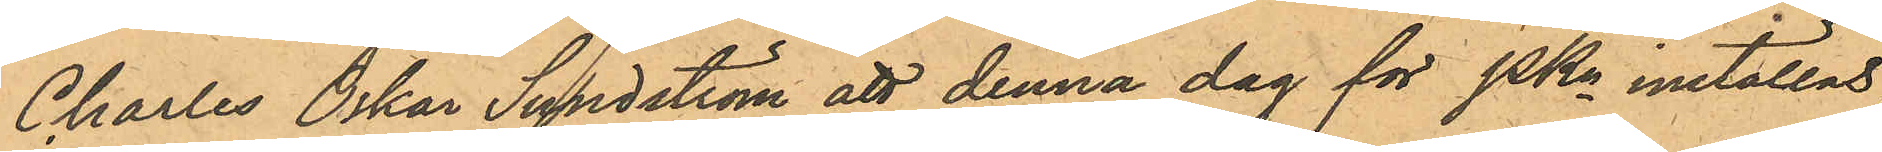Charles Oskar Sundström att denna dag för PKn inställas.
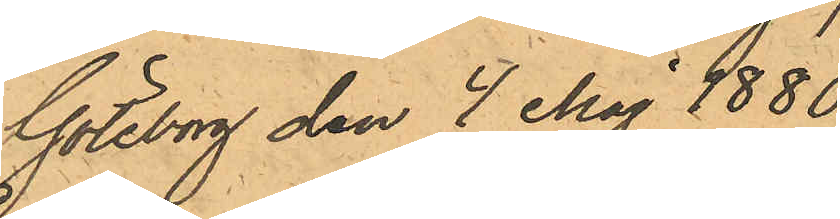Göteborg den 4 Maj 1880.
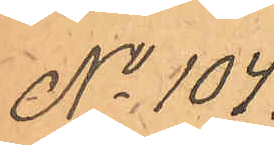No 104.
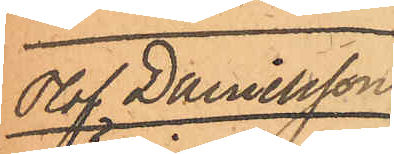Olof Danielsson
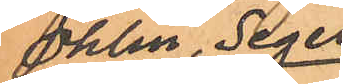Öhlin, Segel
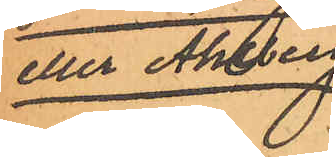eller Ahlberg.
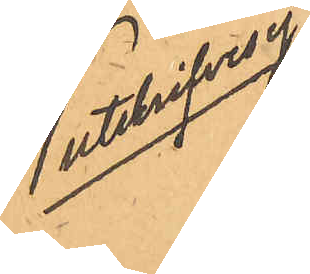utskrives ej
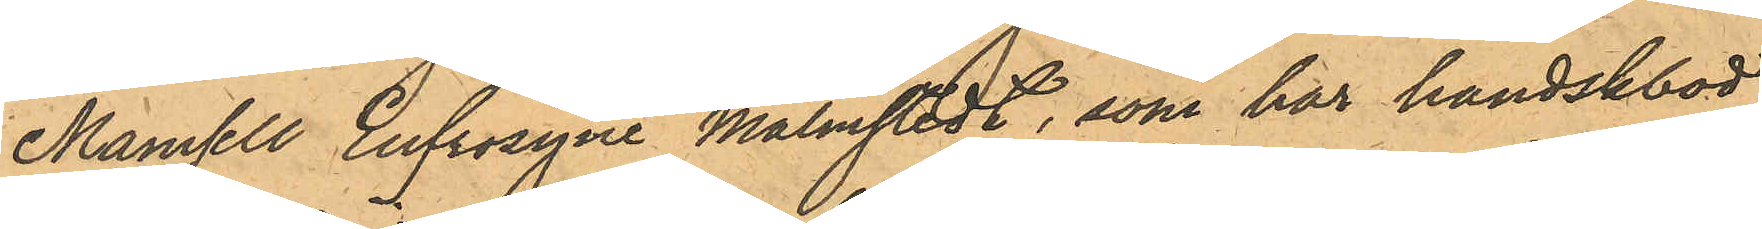Mamsell Eufrosyne Malmstedt, som har handskbod
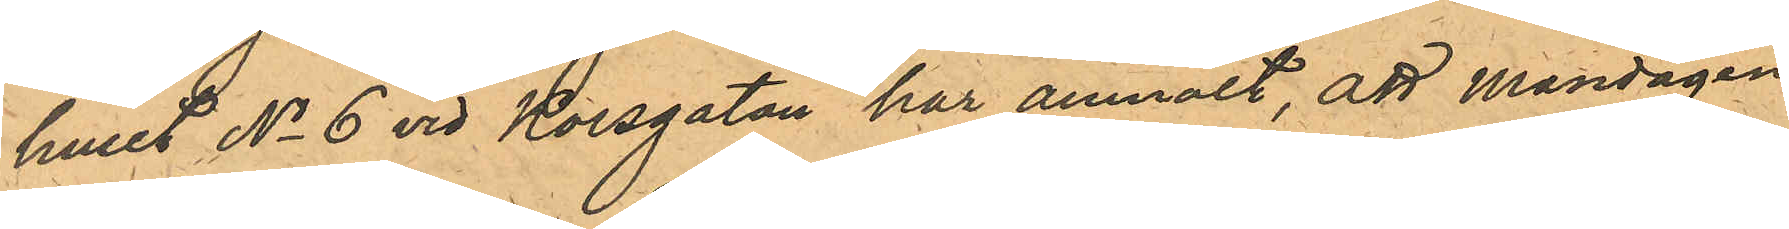i huset No 6 vid Korsgatan har anmält, att Måndagen
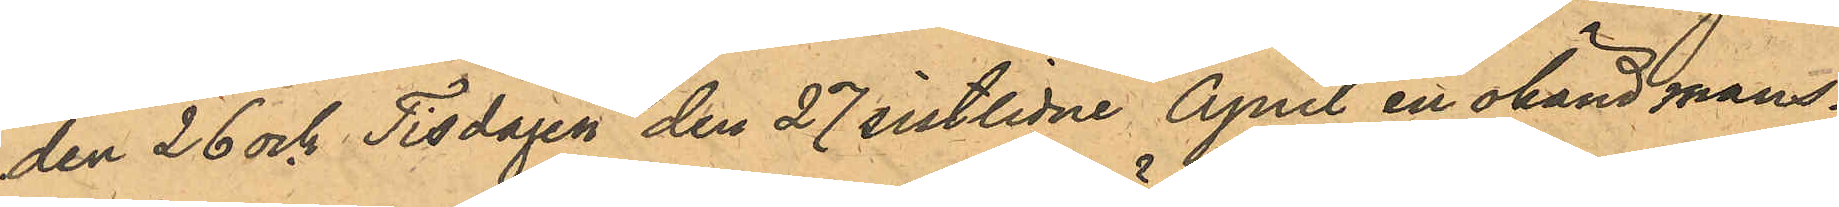den 26 och Tisdagen den 27 sistlidne April en okänd mans¬
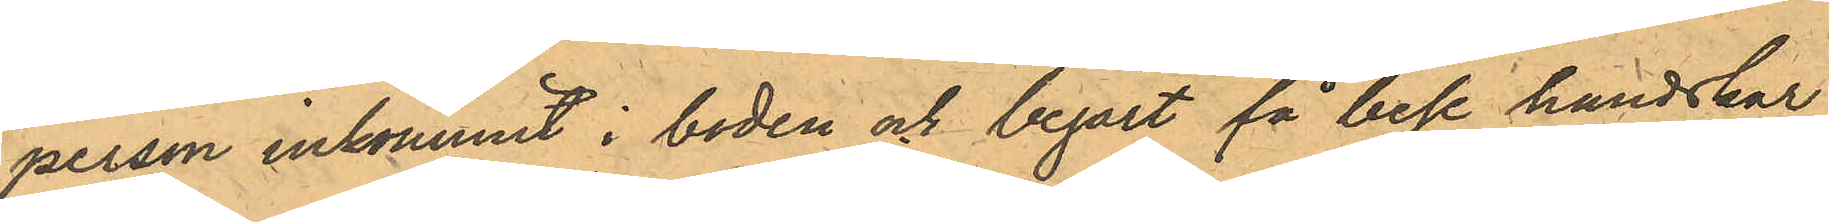person inkommit i boden och begärt få bese handskar;
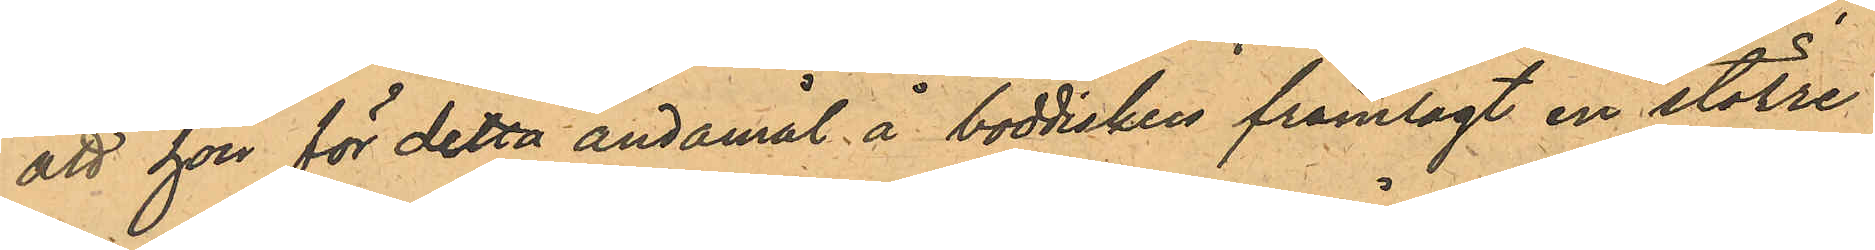att hon för detta ändamål å boddisken framlagt en större
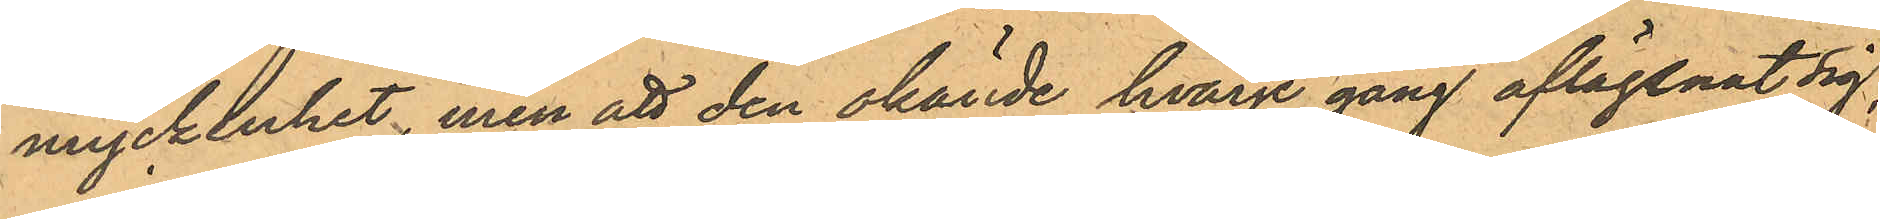myckenhet, men att den okände hvarje gång aflägsnat sig
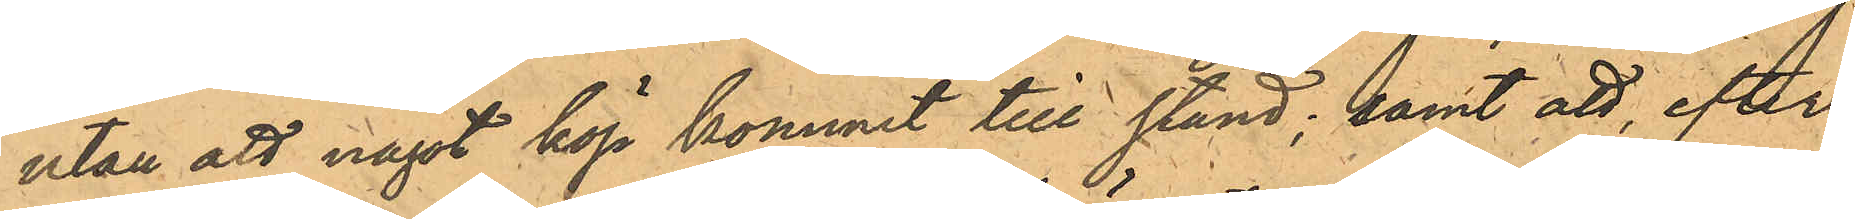utan att något köp kommit till stånd; samt att, efter
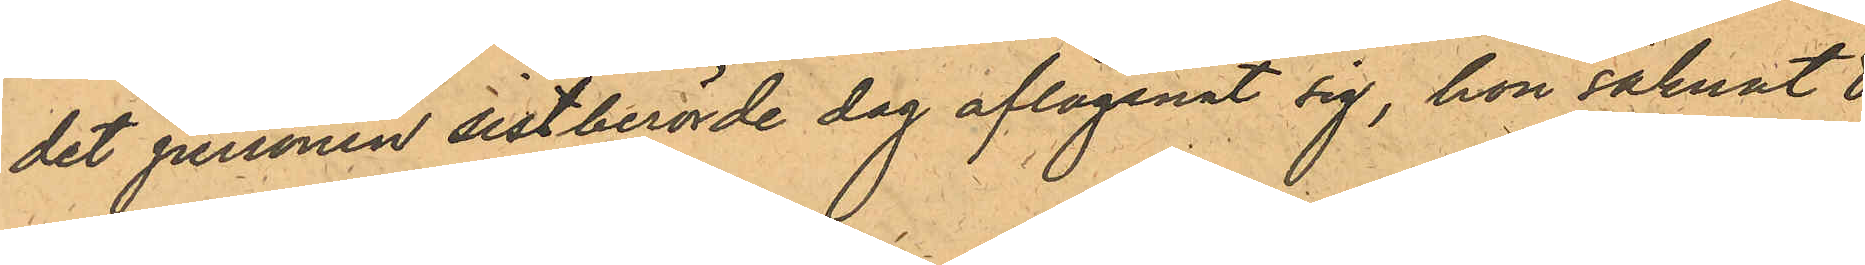det personen sistberörde dag aflägsnat sig, hon saknat 8
